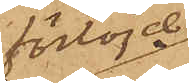förtöjd
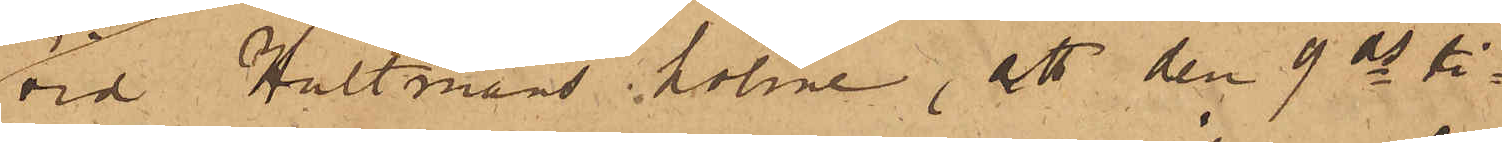vid Hultmans holme, att den 9 ds ti¬
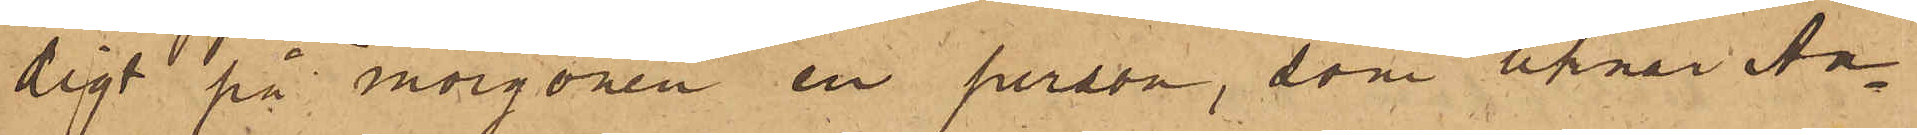digt på morgonen en person, som liknar An¬
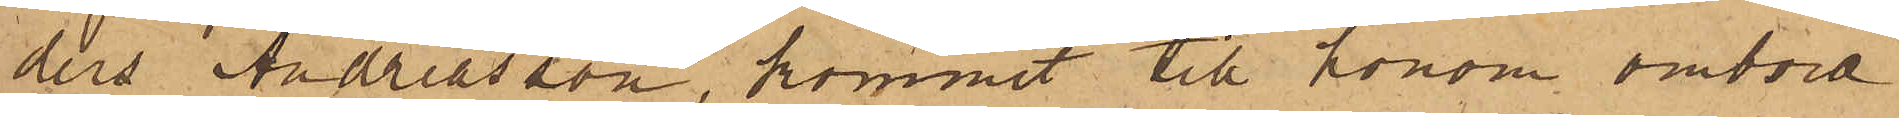ders Andreasson, kommit till honom ombord
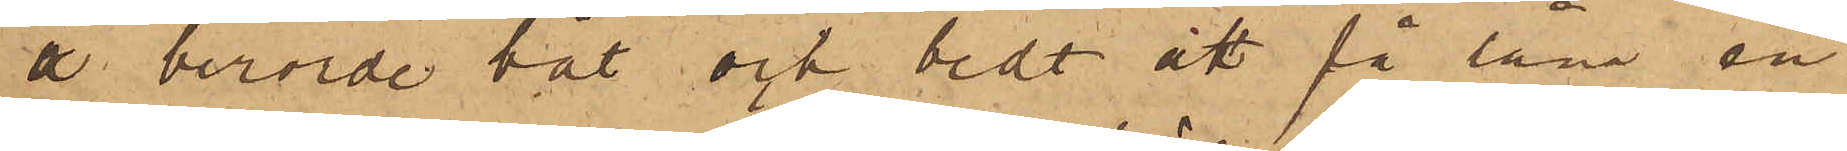å berörde båt och bedt att få låna en
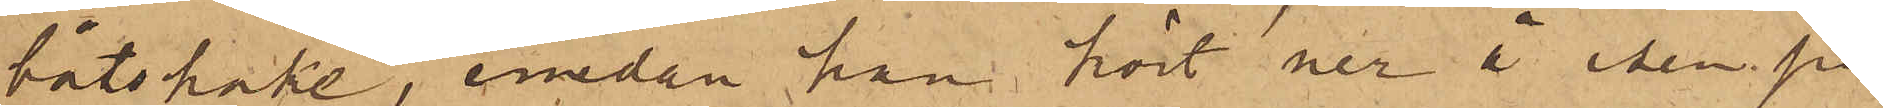båtshake, emedan han kört ner å isen på
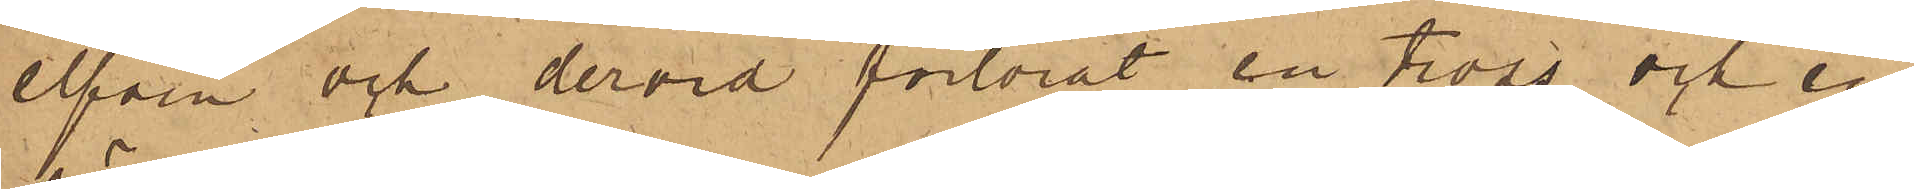elfven och dervid förlorat en tross och en
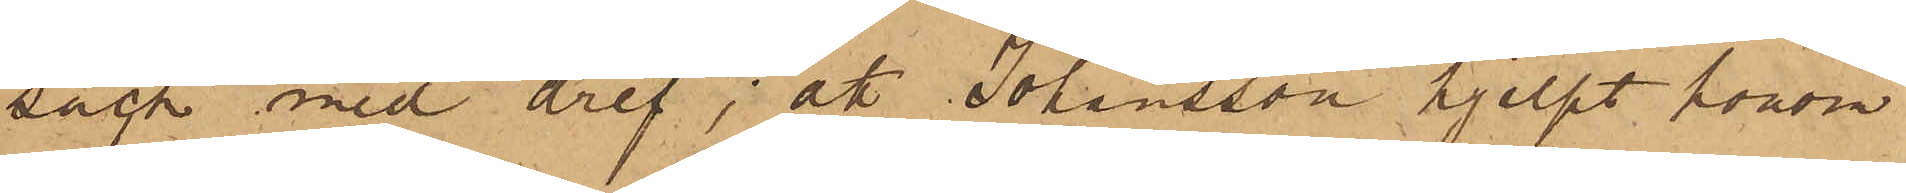säck med dref; att Johansson hjelpt honom
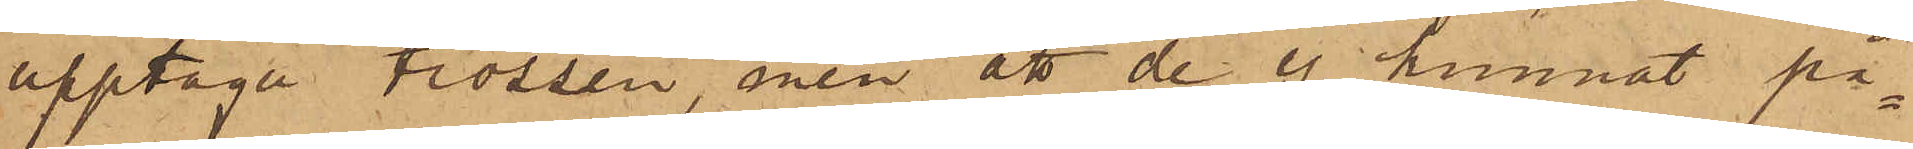upptaga trossen, men att de ej kunnat på¬
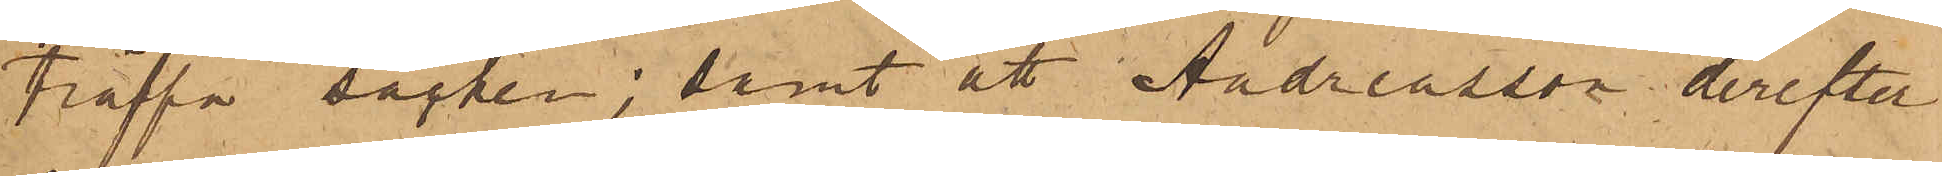träffa säcken; samt att Andreasson derefter
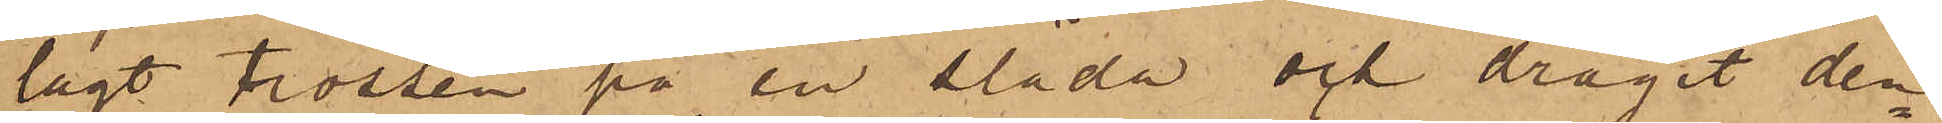lagt trossen på en släde och dragit den¬
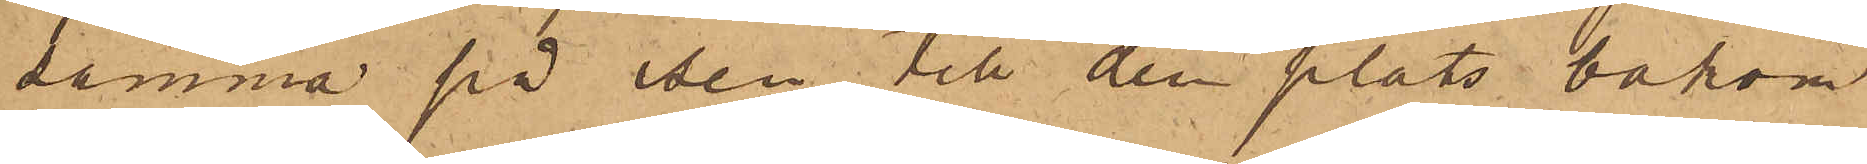samma på isen till den plats bakom
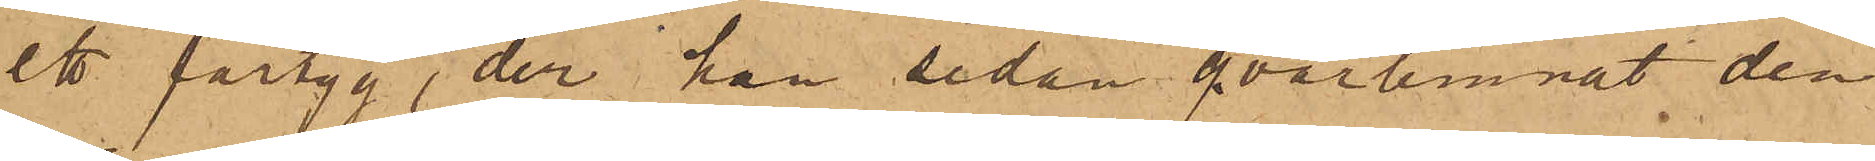ett fartyg, der han sedan qvarlemnat den
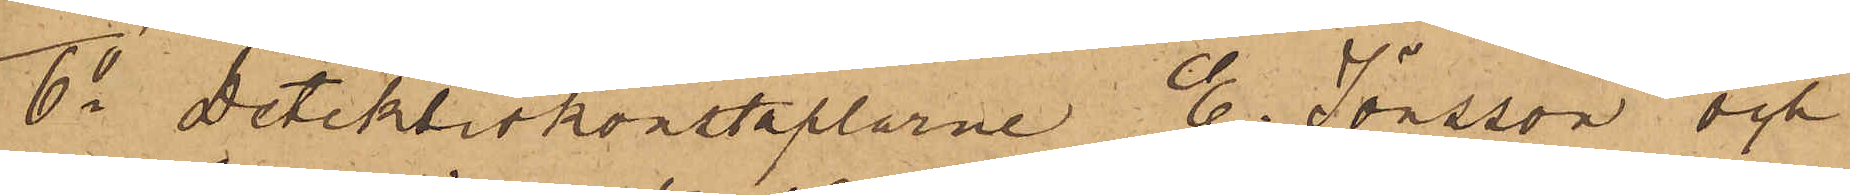6o Detektivkonstaplarne E. Jönsson och
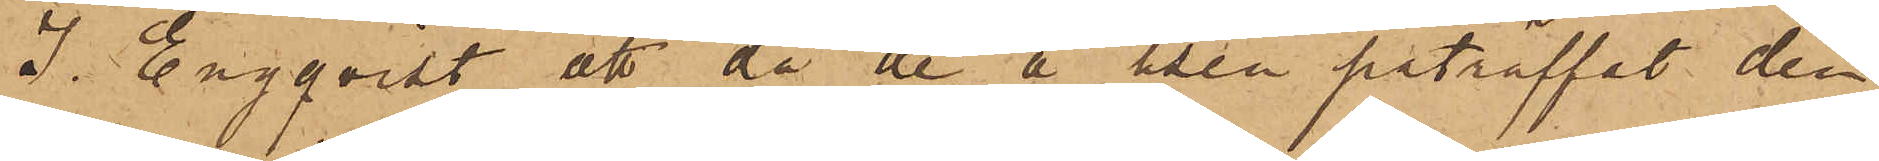J. Engqvist att då de å isen påträffat den
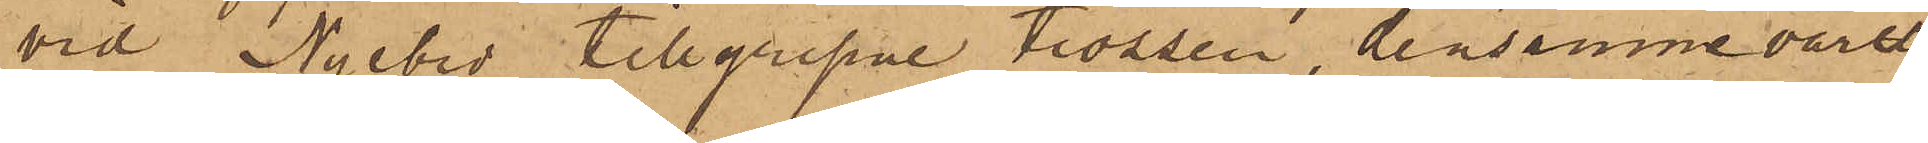vid Nyebro tillgripne trossen, densamme varit
